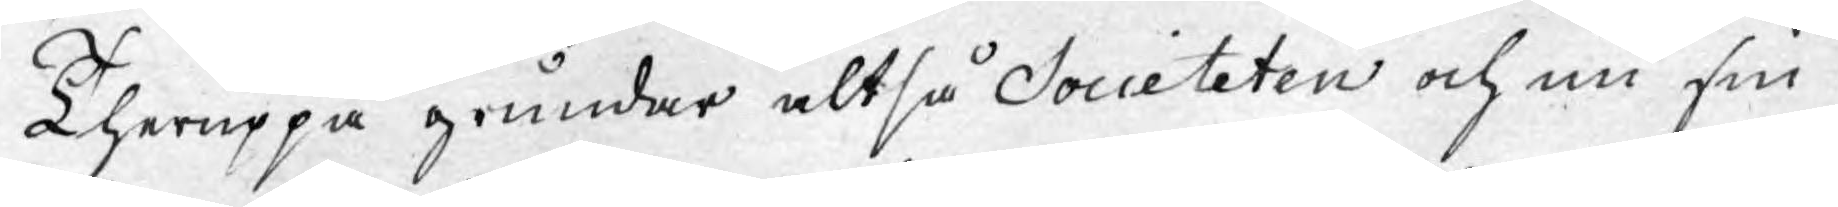Theruppå grundar altså Societeten ock nu sin
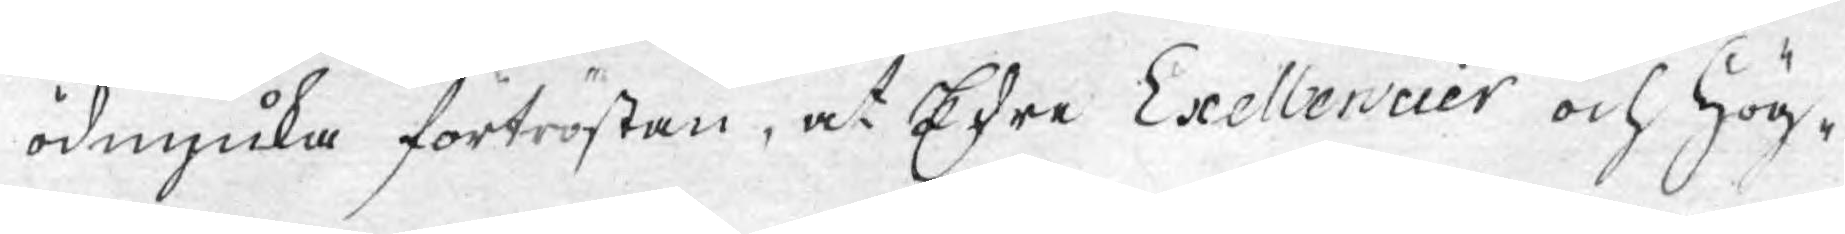ödmjuka förtröstan, at Edre Exellencier och Hög¬
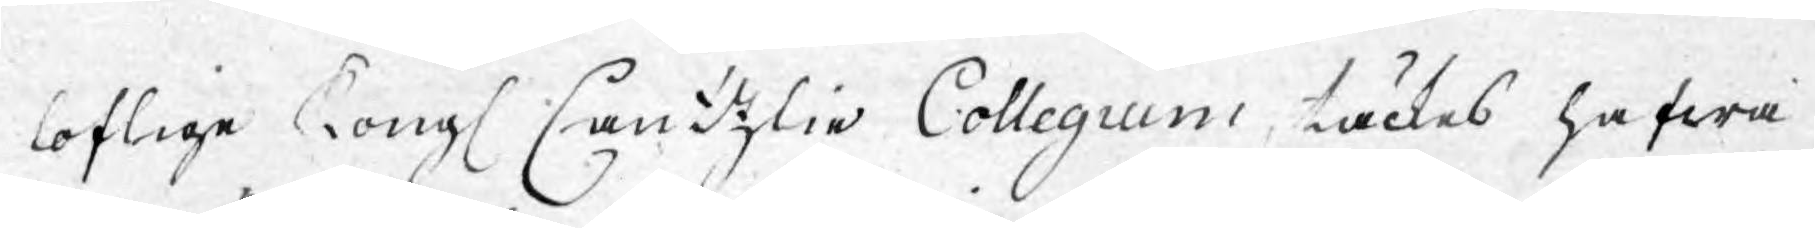loflige Kongl. Cantzli Collegium, täckes hafwa
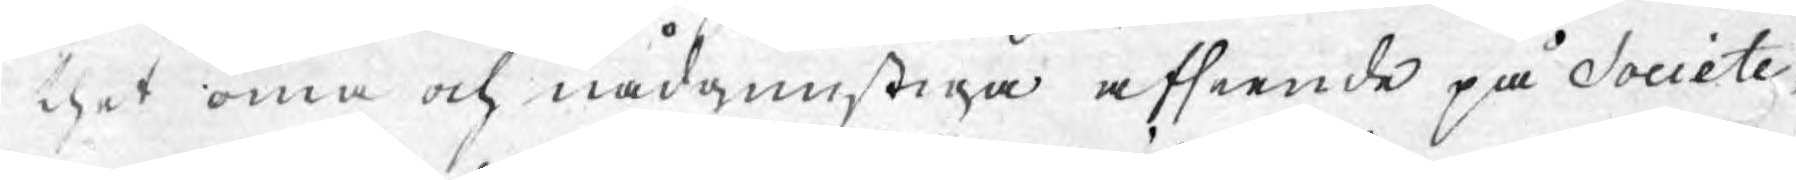thet öma och nådgunstige afseende på Societe¬
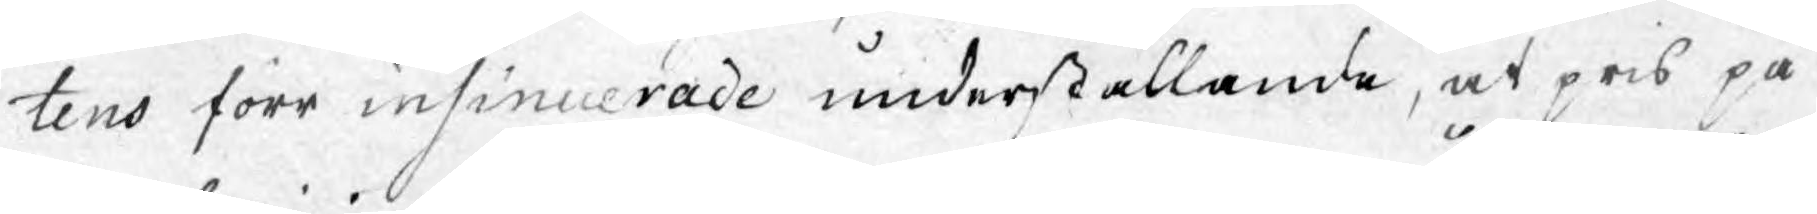tens förr insinuerade underställande, at pris på
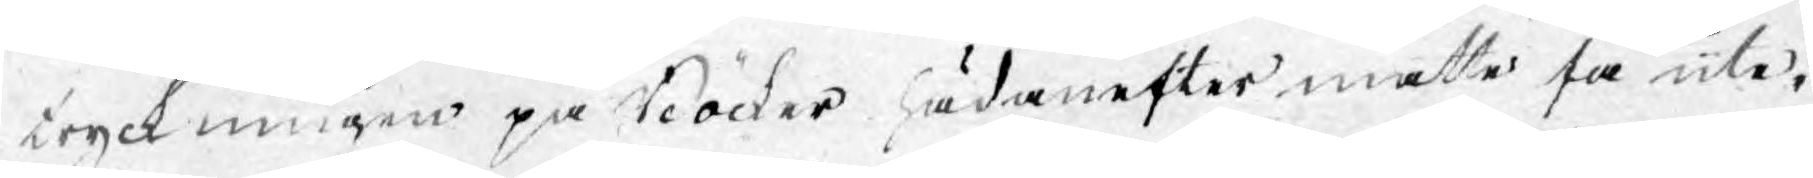tryckningen på Böcker hädanefter måtte få ute¬
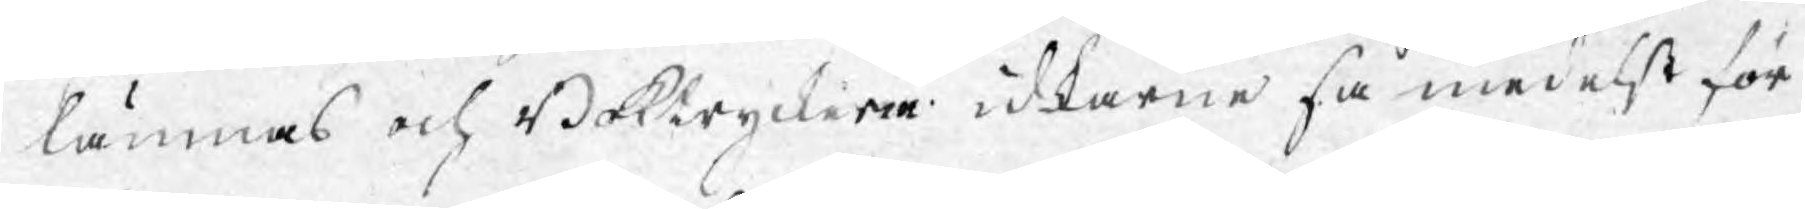lämnas och Boktryckerie idkarne så medelst för¬
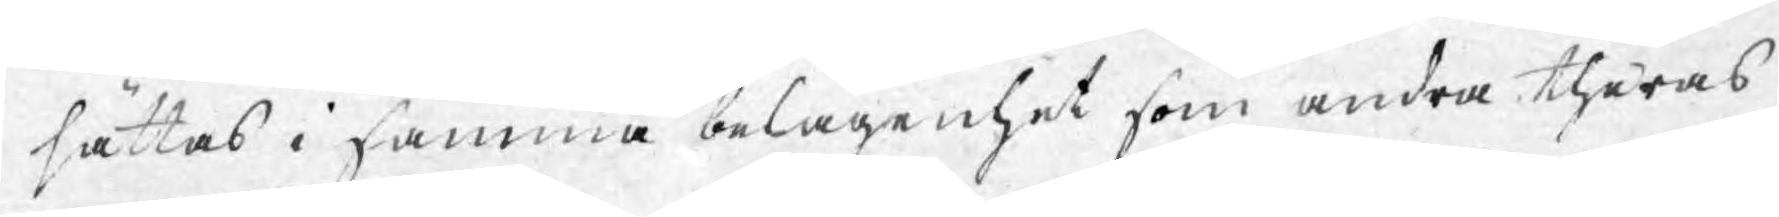sättas i samma belägenhet som andra theras
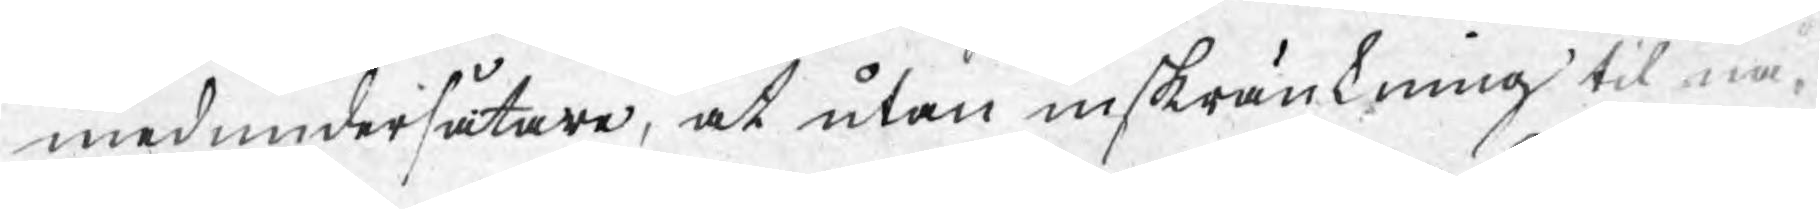medundersåtare, at utan inskränkning til nå¬
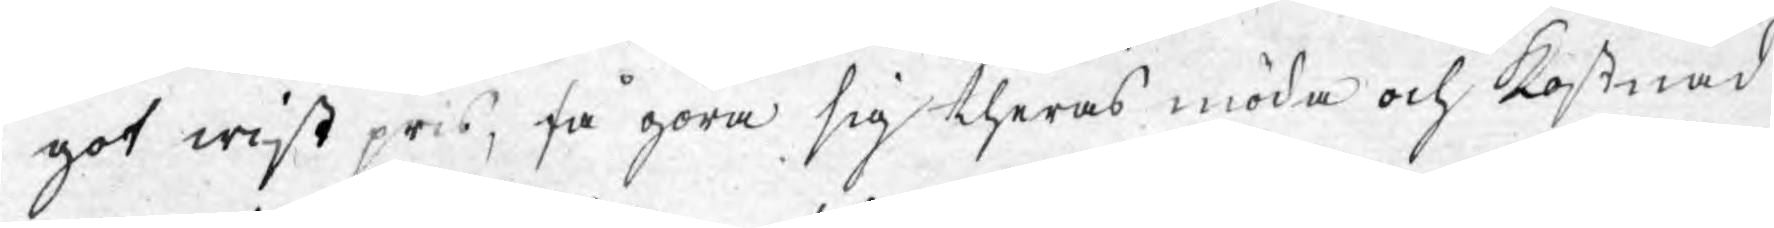got wist pris, få göra sig theras möda och kostnad
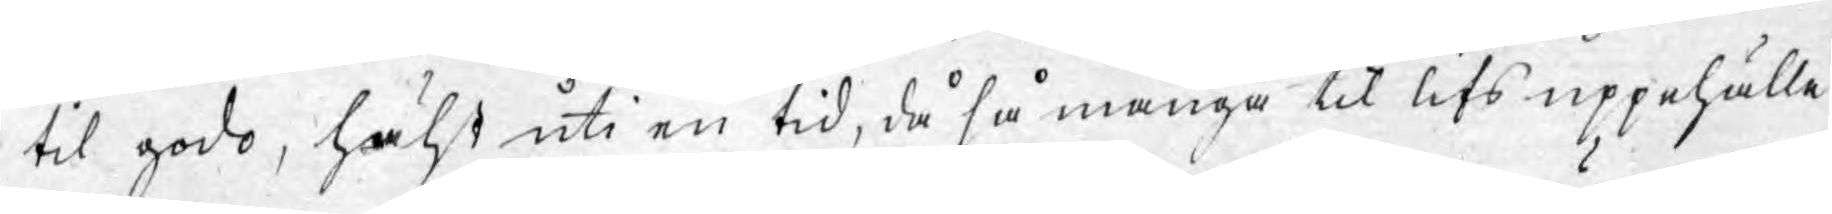til godo, hälst uti en tid, då så många til lifs uppehälle
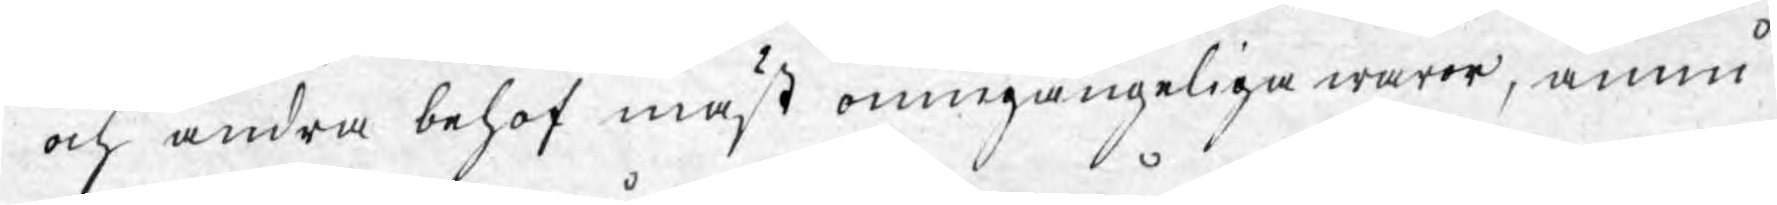och andra behof mäst oumgängeliga waror, ännu
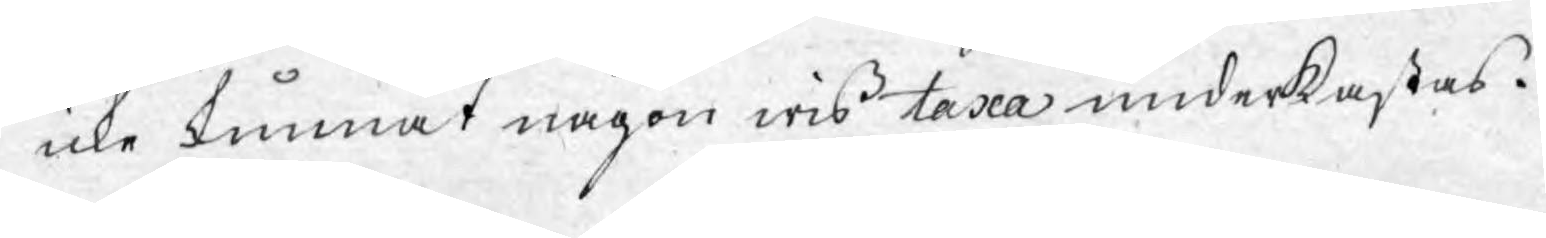icke kunnat någon wiss taxa underkastas.
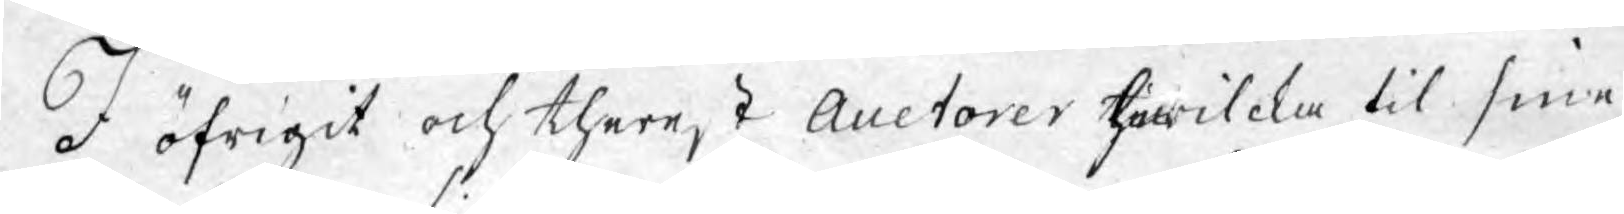I öfrigit och therest Auctorer hwilcka til sine
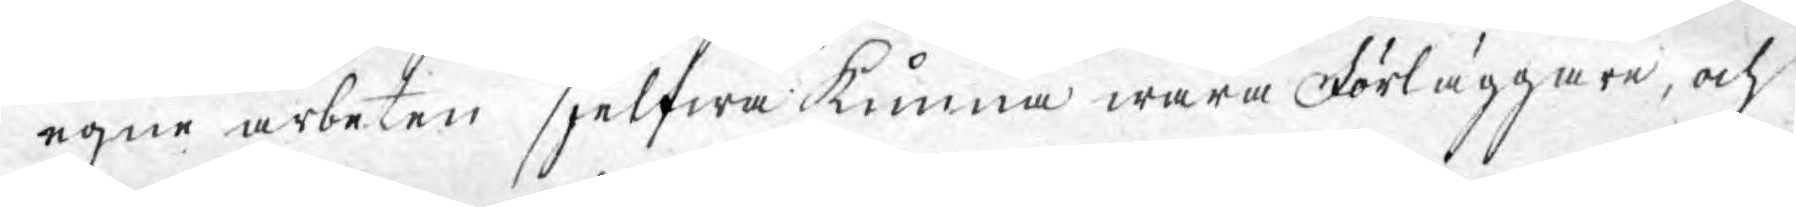egne arbeten sjelfwa kunna wara Förläggare, och
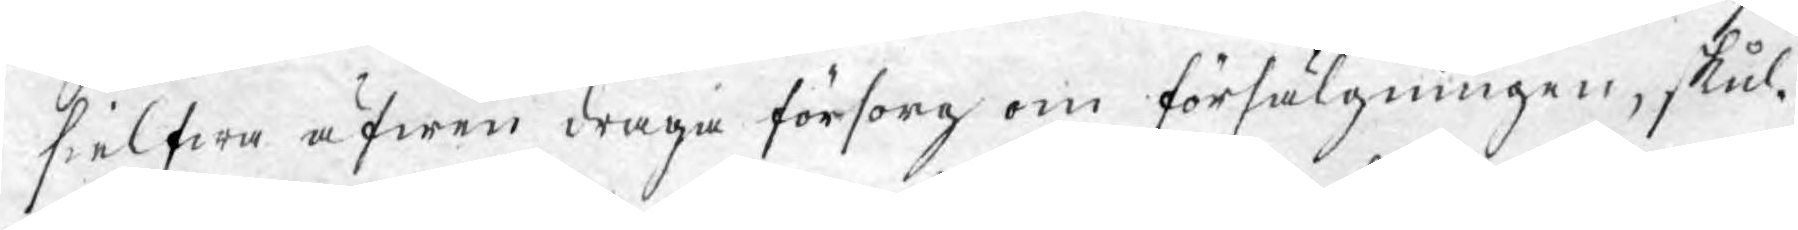sielfwa äfwen draga försorg om försälgningen, skul¬
